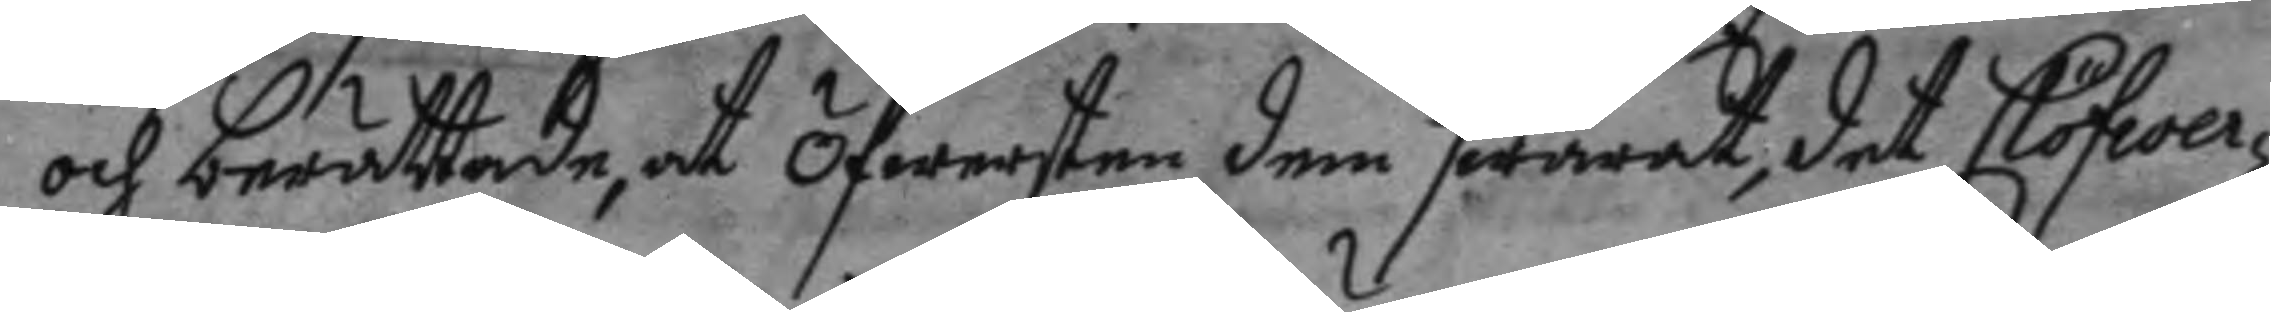och berättade, at Öfwersten dem swarat, det Clöfwer¬
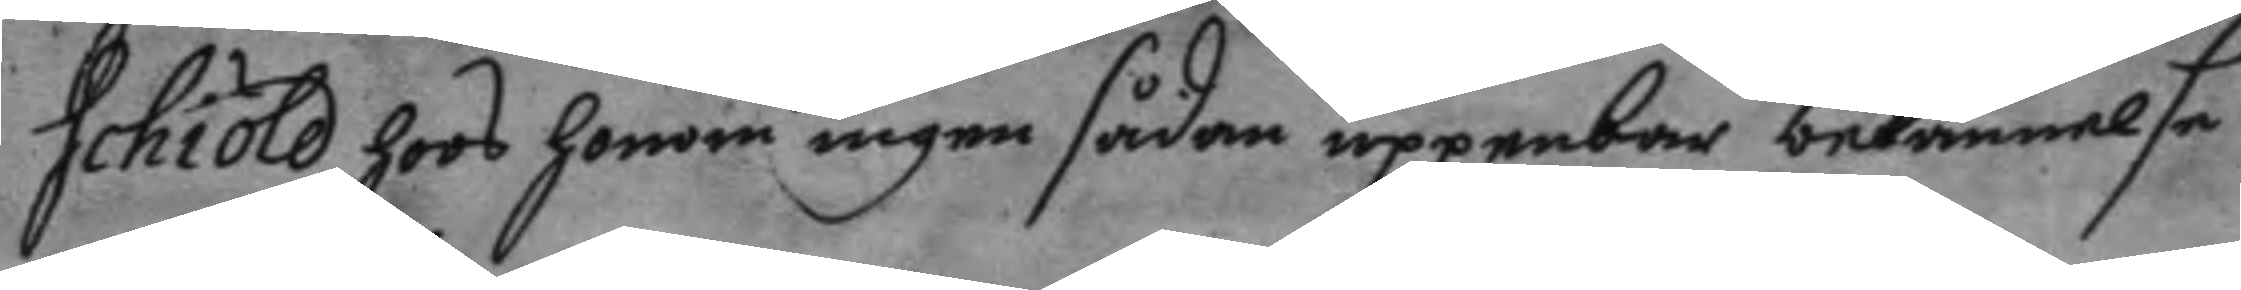schiöld hoos honom ingen sådan uppenbar bekännelse
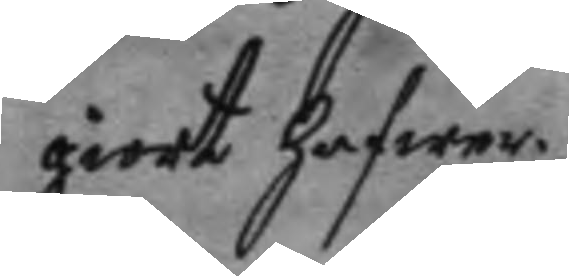giort hafwer.
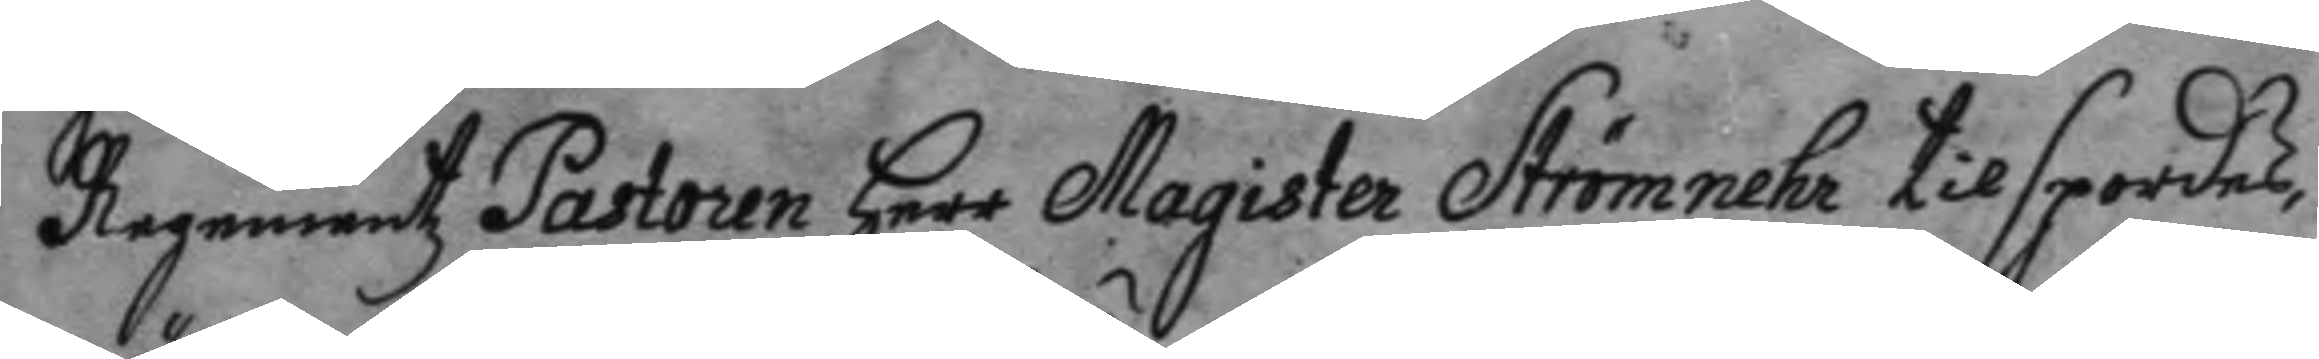Regementz Pastoren herr Magister Strömnehr tilspordes,
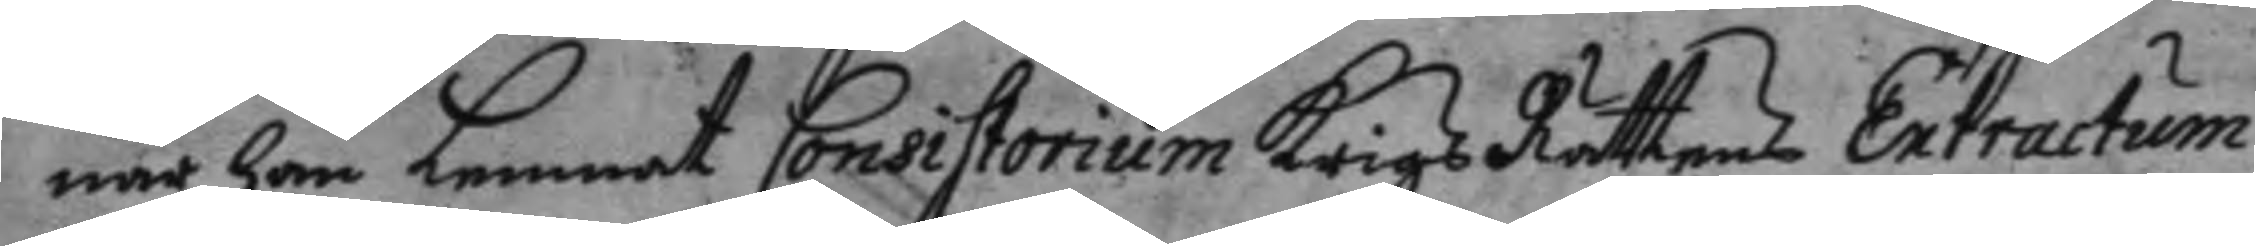när han lemnat Consistorium Krigz Rättens Extractum
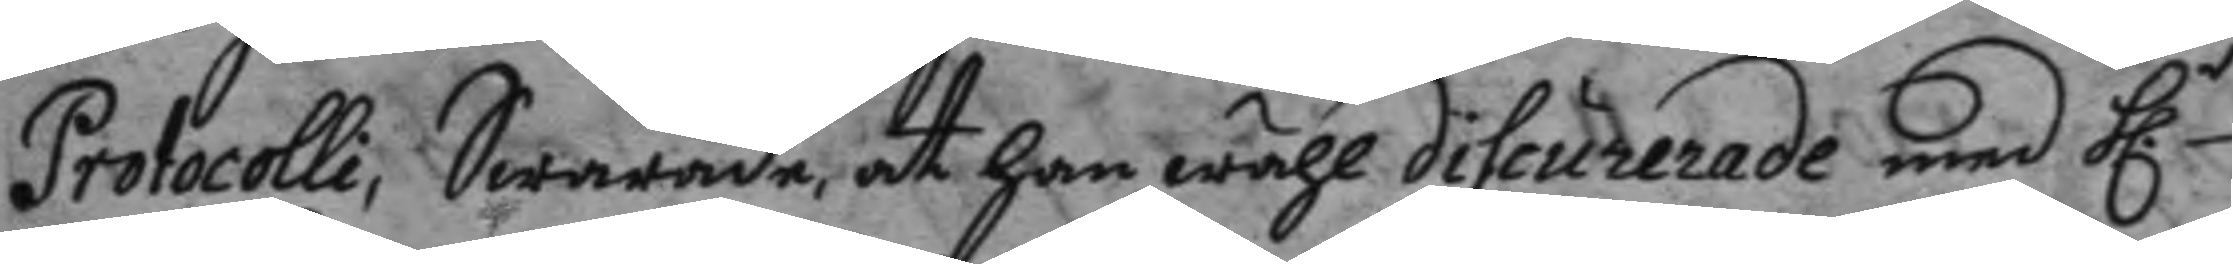Protocolli, Swarade, at han wähl discurerade med h.r
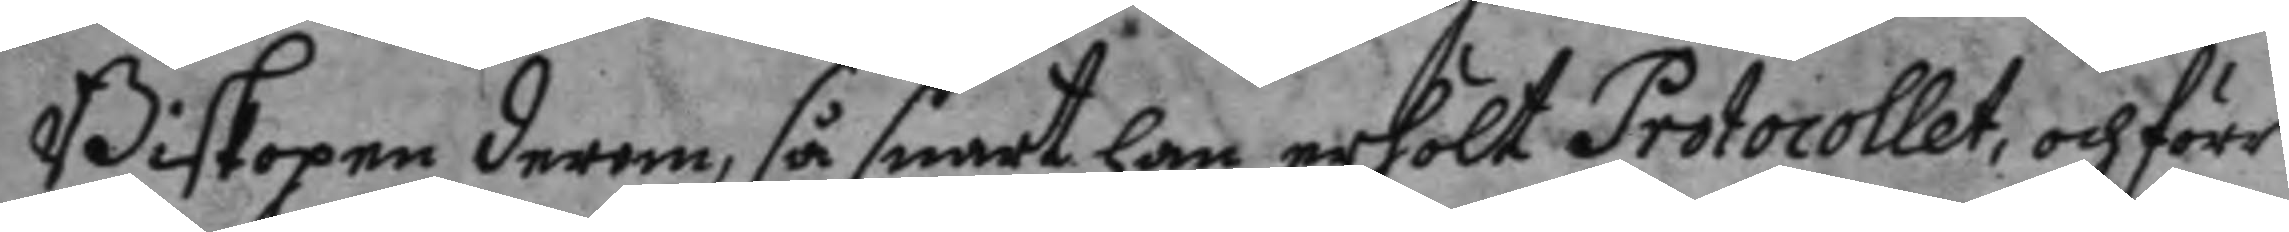Biskopen derom, så snart han erhölt Protokollet, och förr
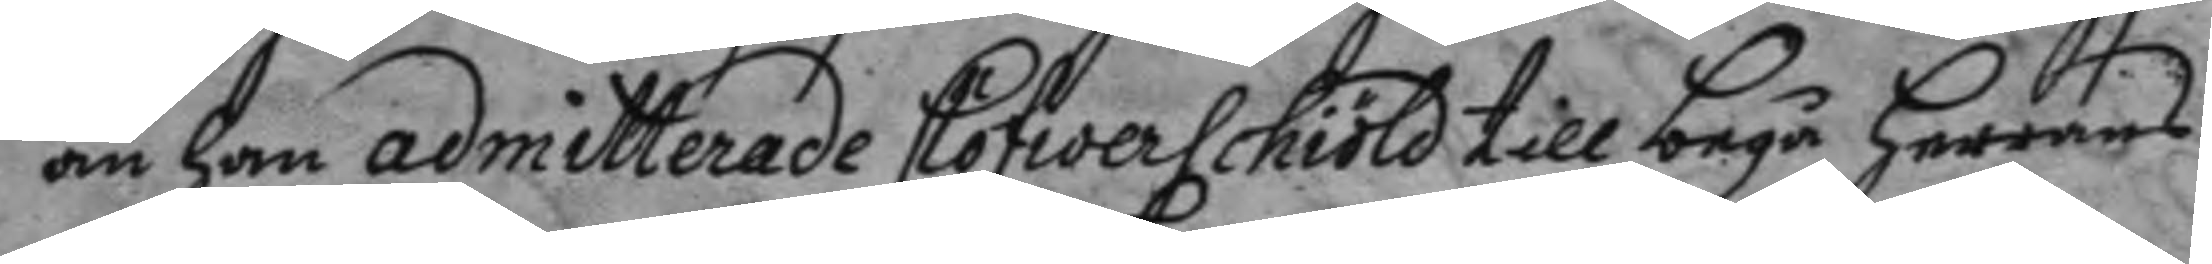än han admitterade Clöfwerschöld till begå herrans
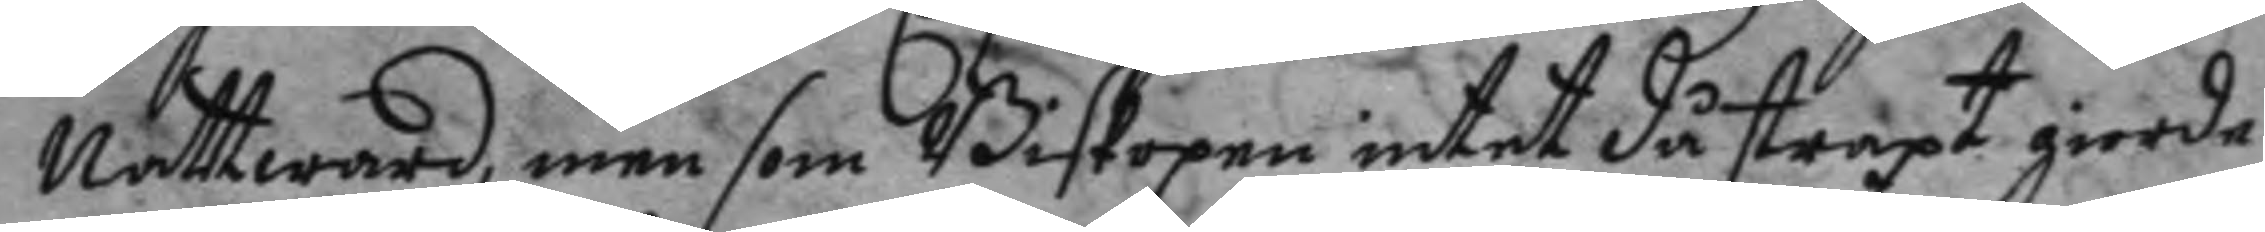Nattward, men som Biskopen intet då straxt giorde
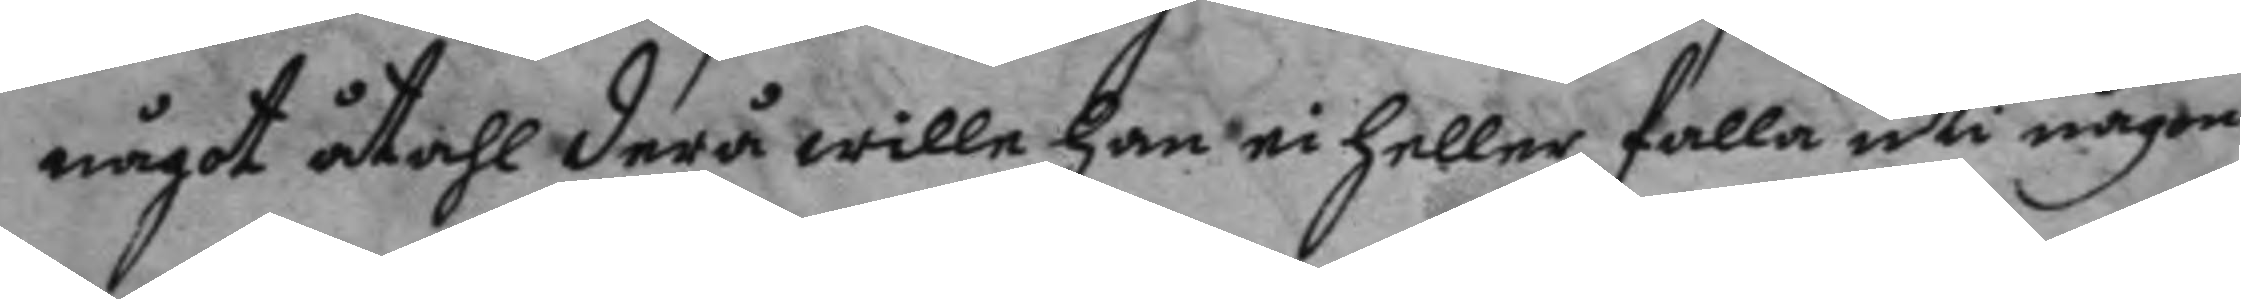något åtahl derå wille han ei heller falla uti någon
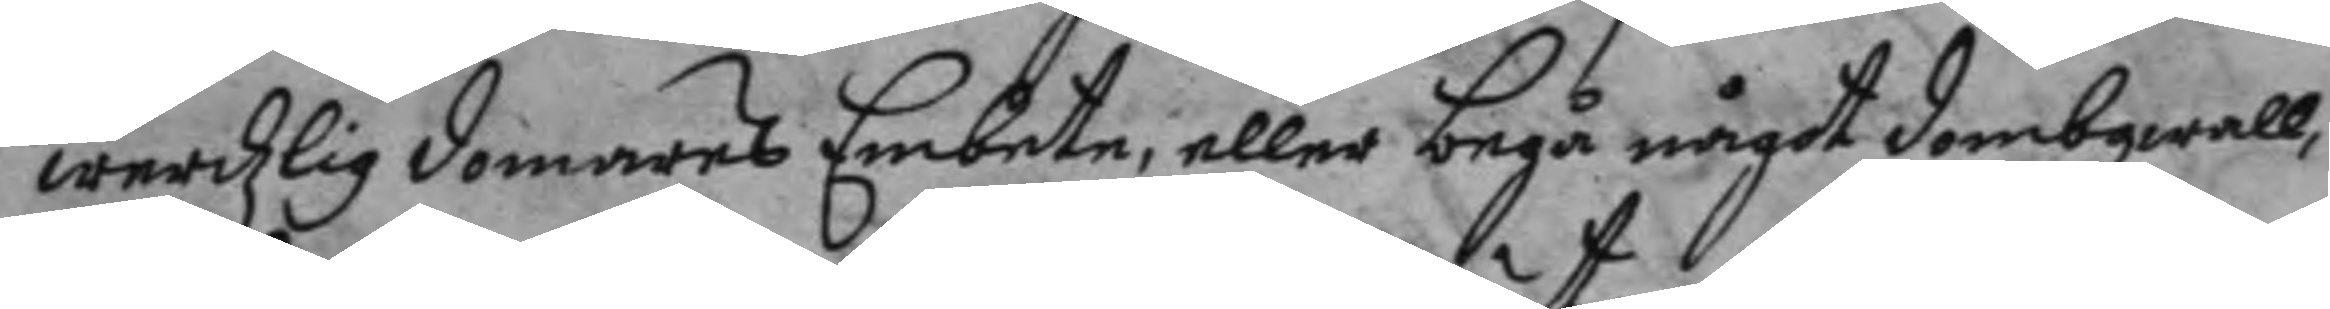werdzligdomares Embete, eller begå något dombqwall,
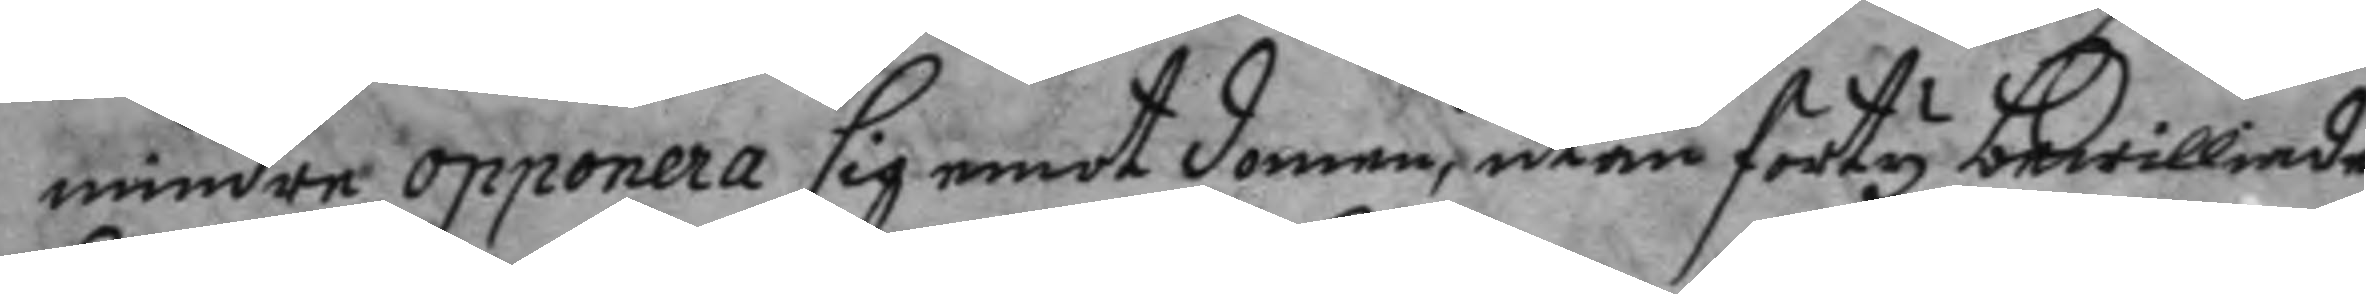mindre opponera sig emot domen, utan förty bewilliade
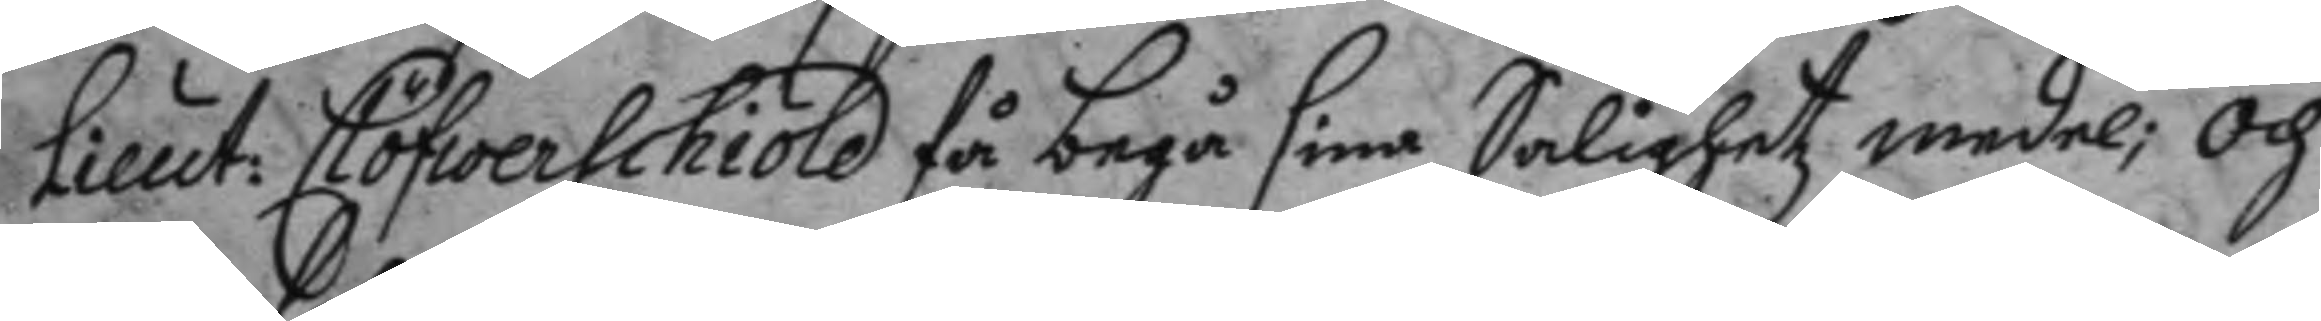Lieut: Clöfwerschöld få begå sine Salighetz medel; och
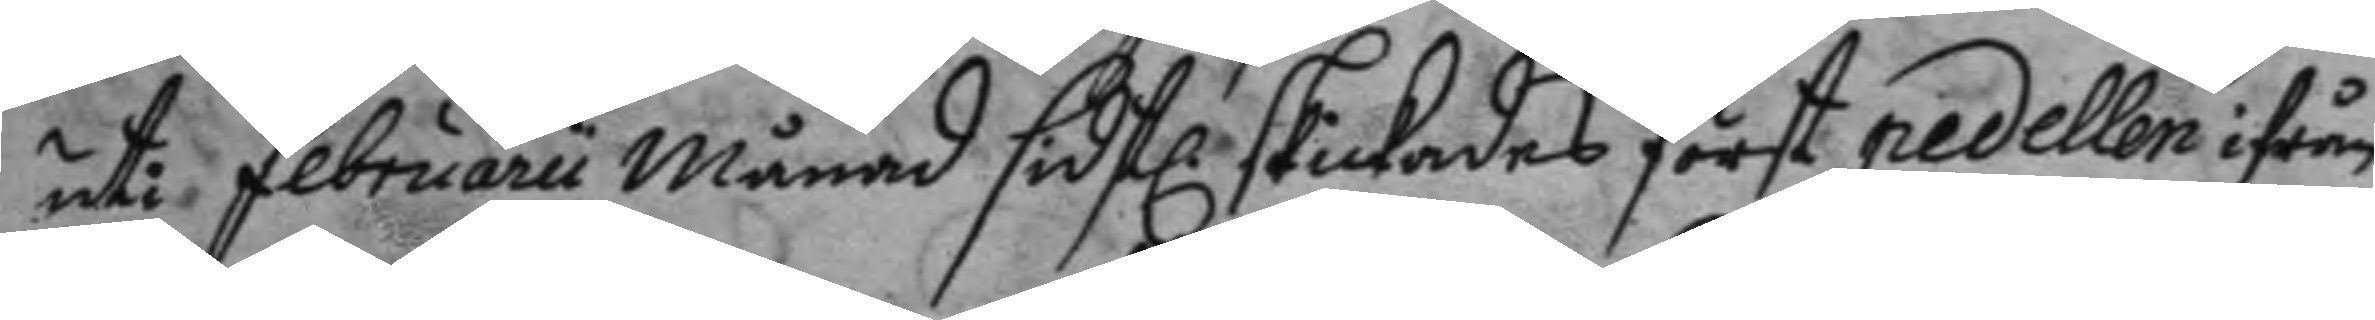uti februarii månad sidstl. skickades först pedellen ifrån
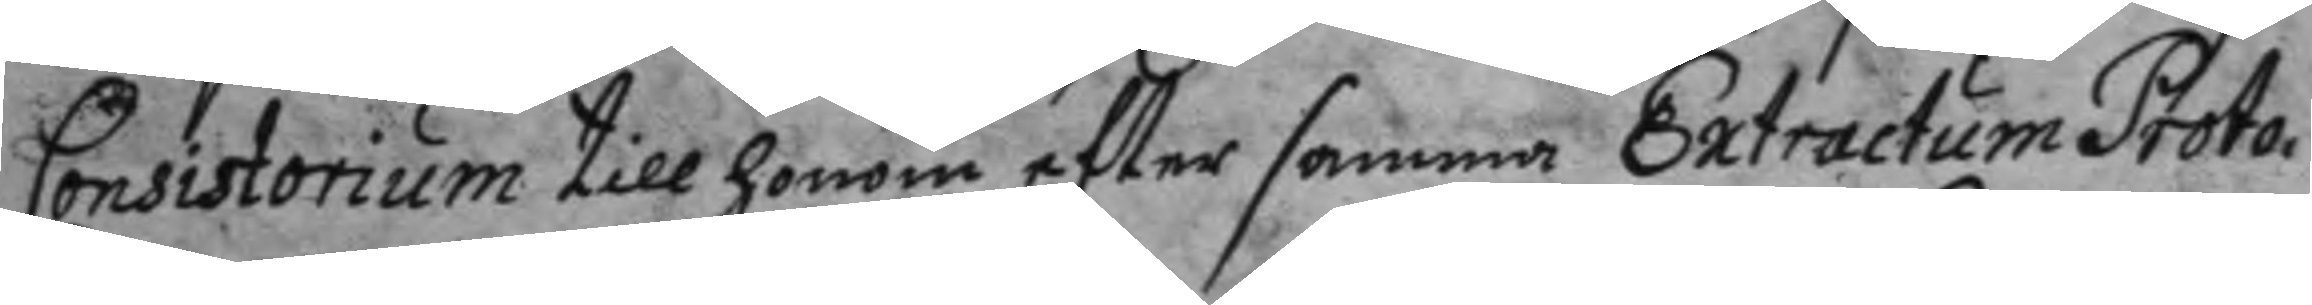Consistorium till honom efter samma Extractum Proto¬
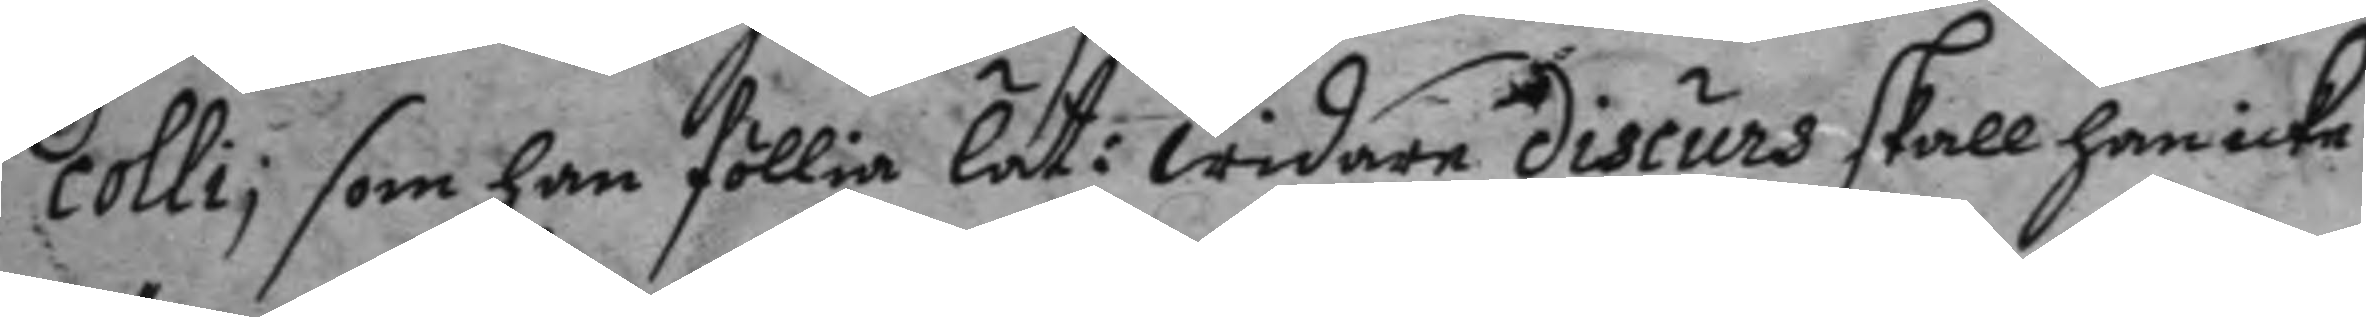colli; som han föllia lät: widare discurs skall han icke
